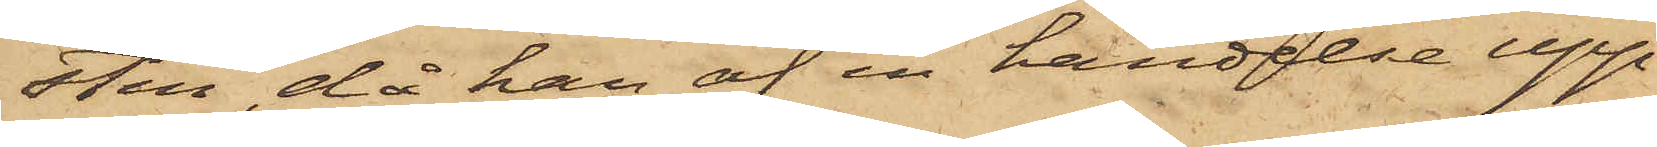sten, då han af en händelse upp¬
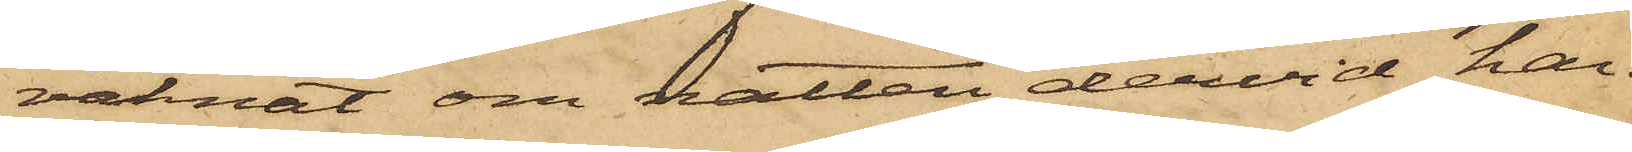vaknat om natten, dervid han
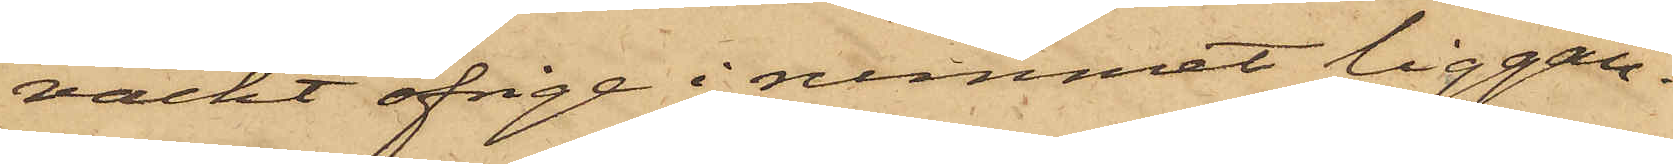väckt öfriga i rummet liggan¬
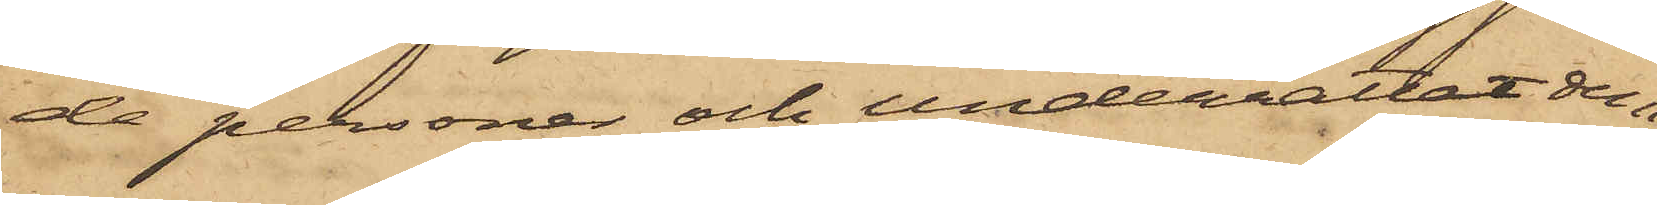de personer och underrättat dem
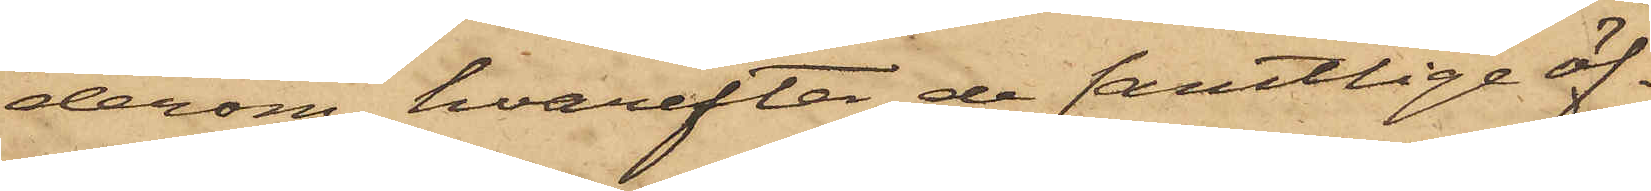derom, hvarefter de samtlige öf¬
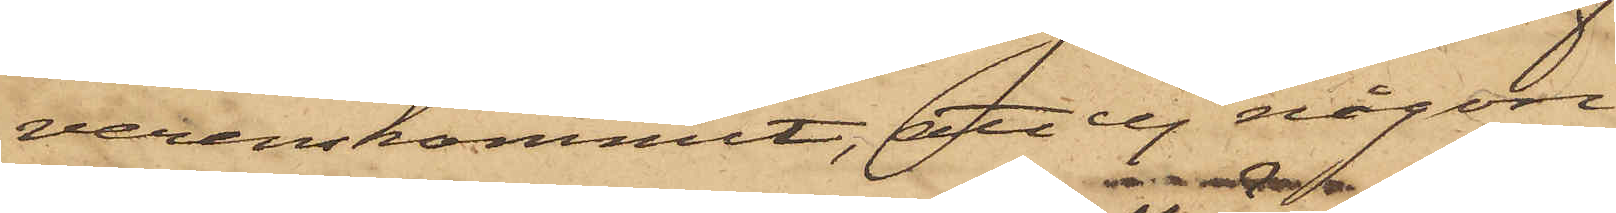verenskommit, att ej någon
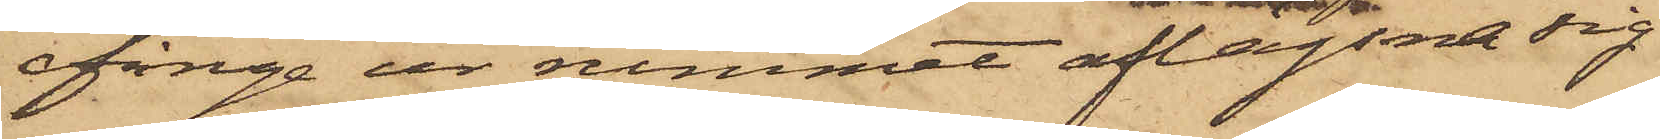finge ur rummet aflägsna sig
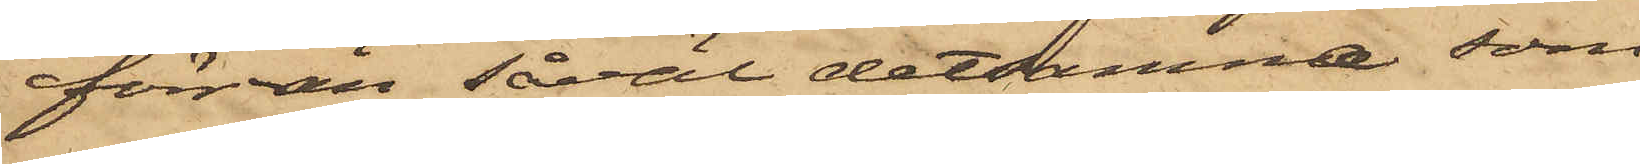förrän såväl detsamma, som
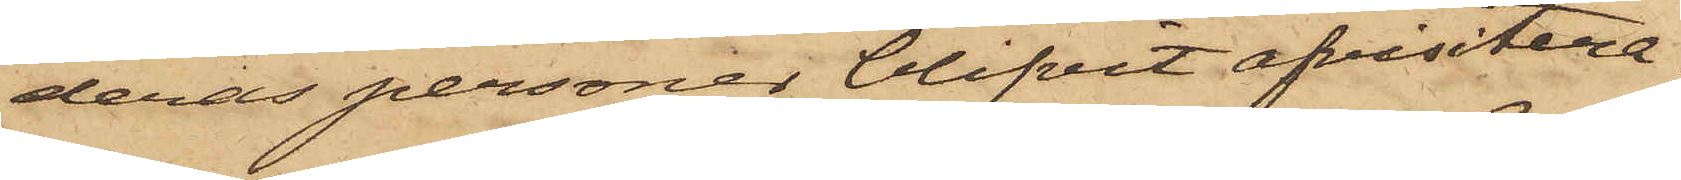deras personer blifvit afvistera¬
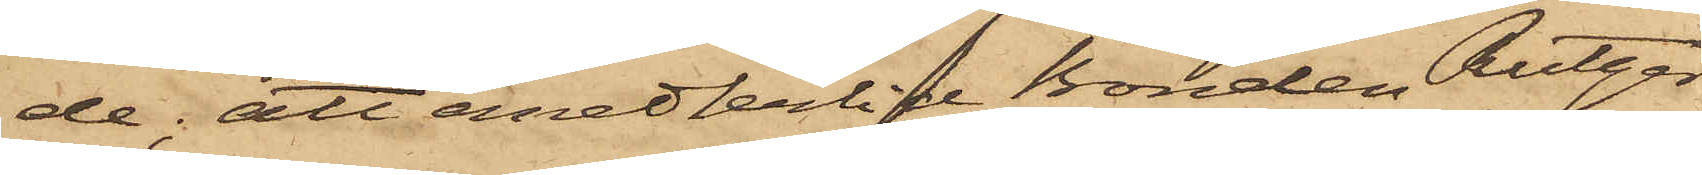de; att emedlertid Bonden Rutger
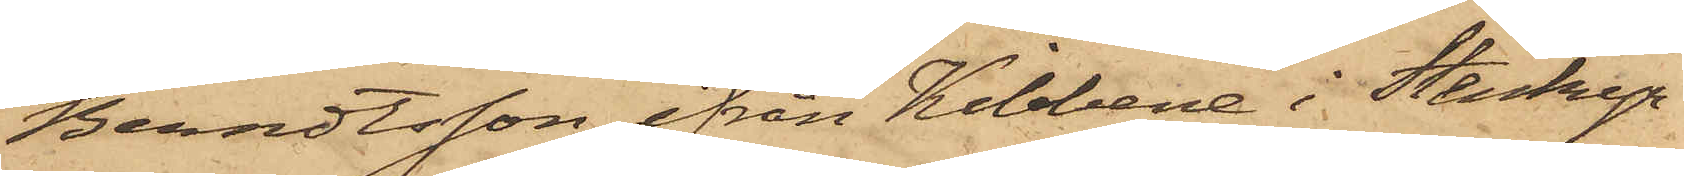Berndtsson ifrån Kibbene i Stenky¬
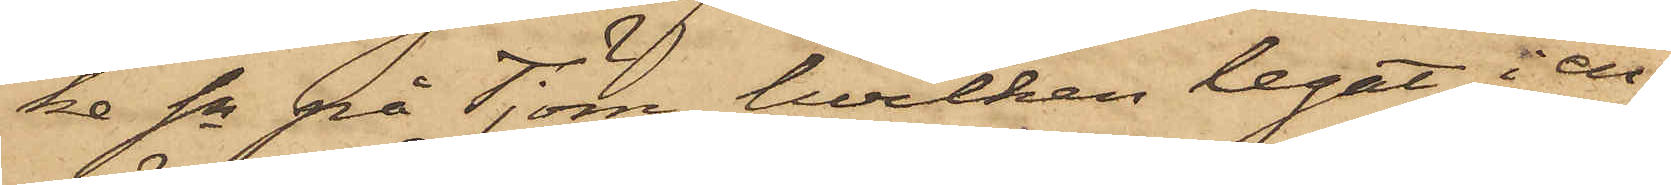ka Sn på Tjörn, hvilken legat i en
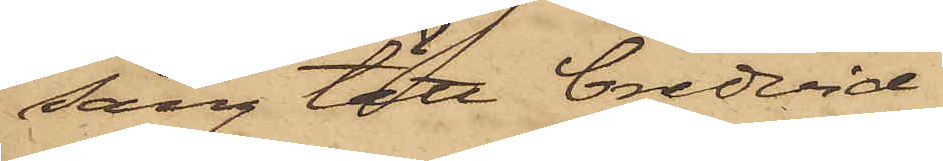säng tätt bredvid
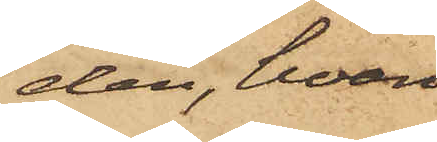den, hvari
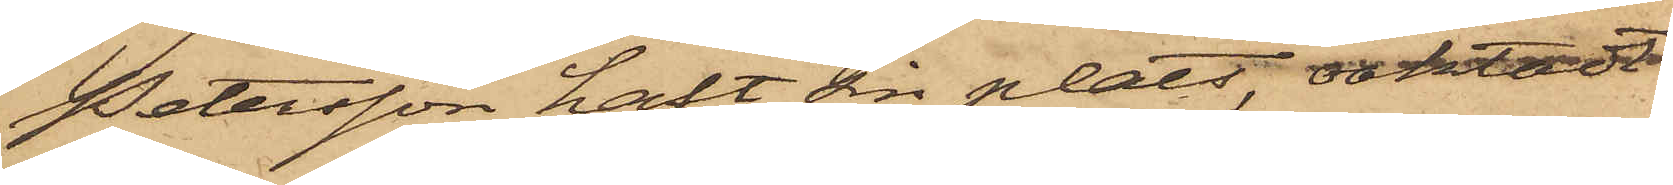Petersson haft sin plats, oaktadt
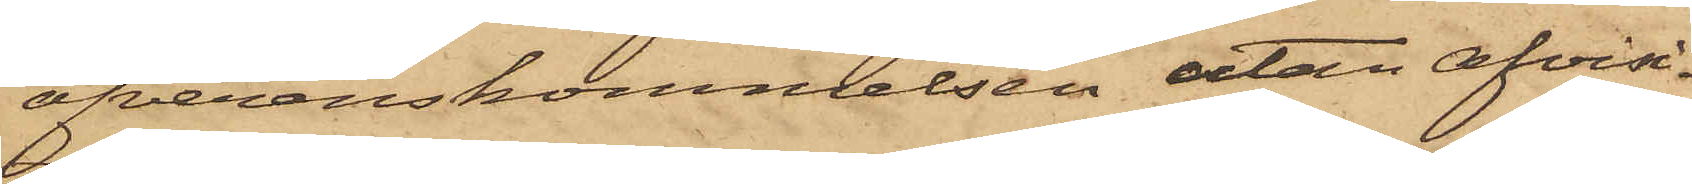öfverenskommelsen utan afvisi¬
